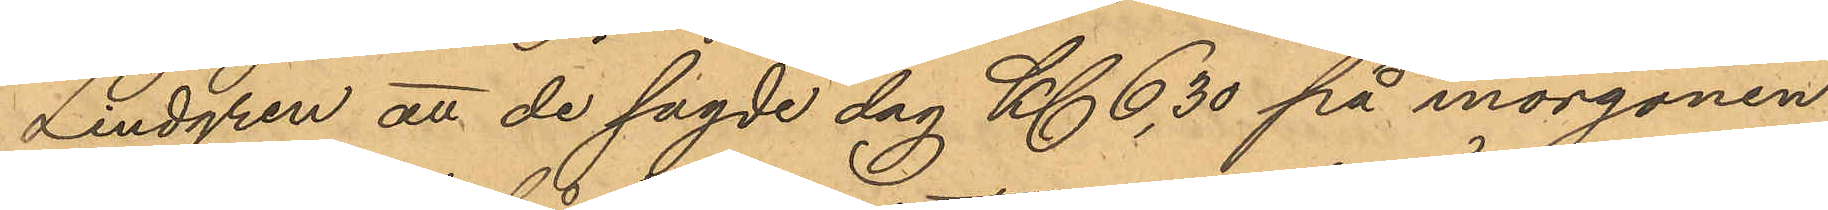Lindgren att de sagde dag Kl. 6,30 på morgonen,
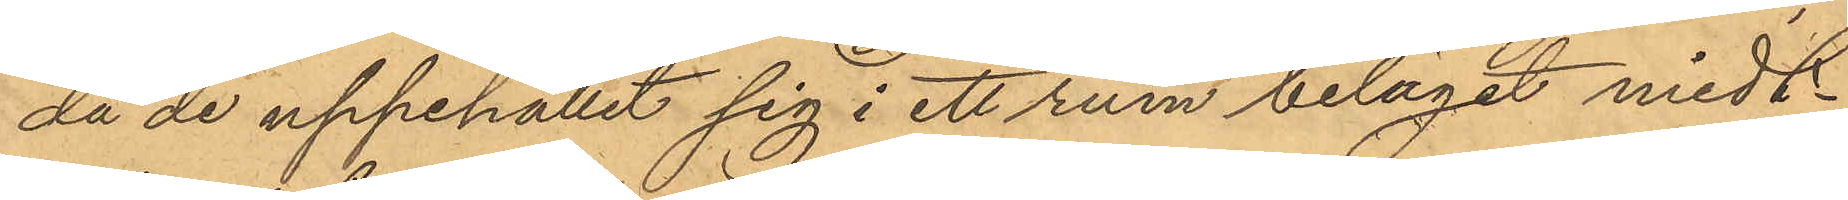då de uppehållit sig i ett rum beläget midt¬
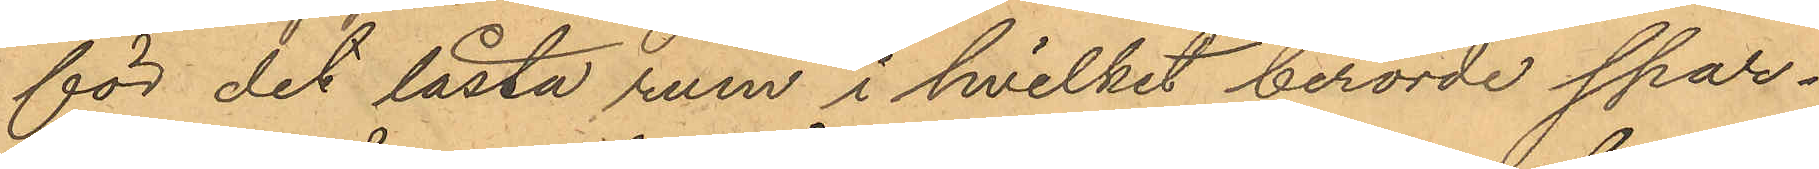för det låsta rum i hvilket berörde spar¬
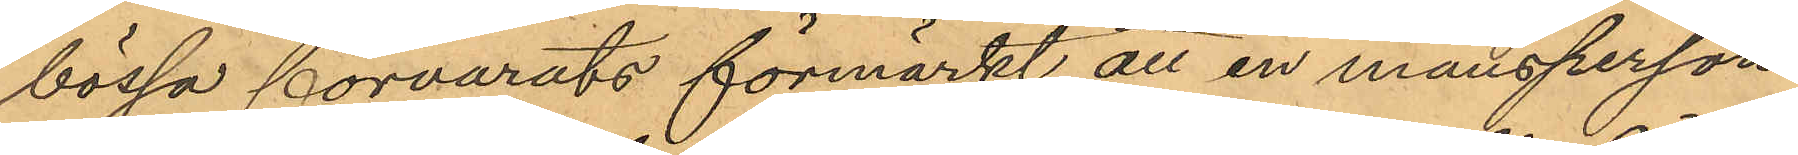bössa förvarats förmärkt att en mansperson
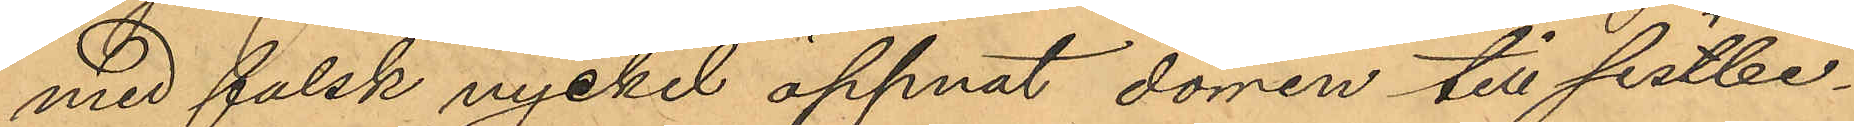med falsk nyckel öppnat dörren till sistbe¬
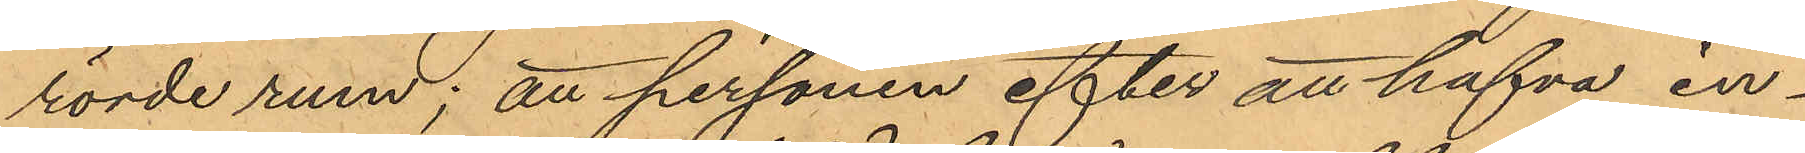rörde rum; att personen efter att hafva in¬
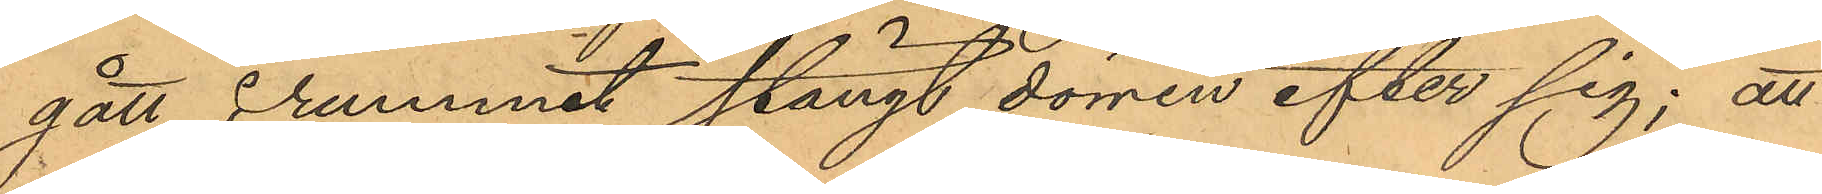gått i rummet stängt dörren efter sig; att
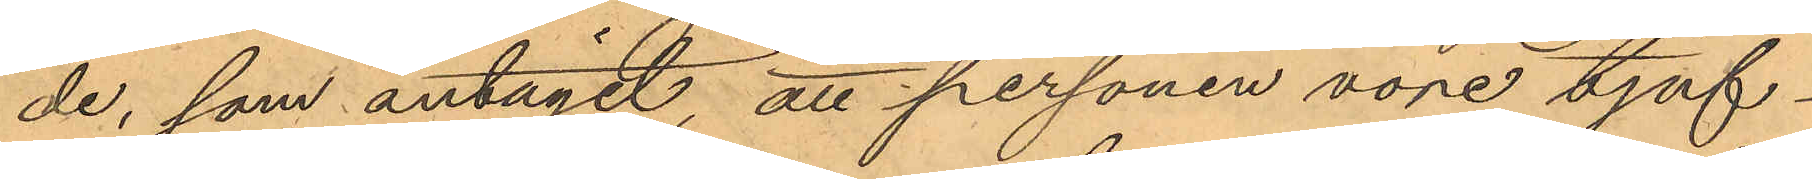de, som antagit, att personen vore tjuf¬
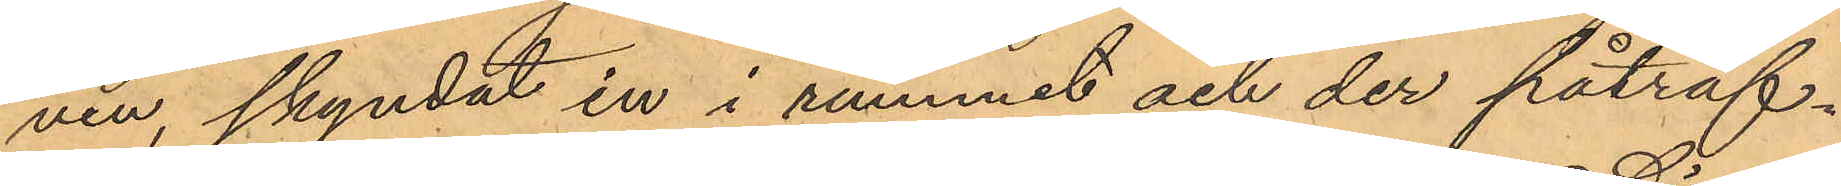ven, skyndat in i rummet och der påträf¬
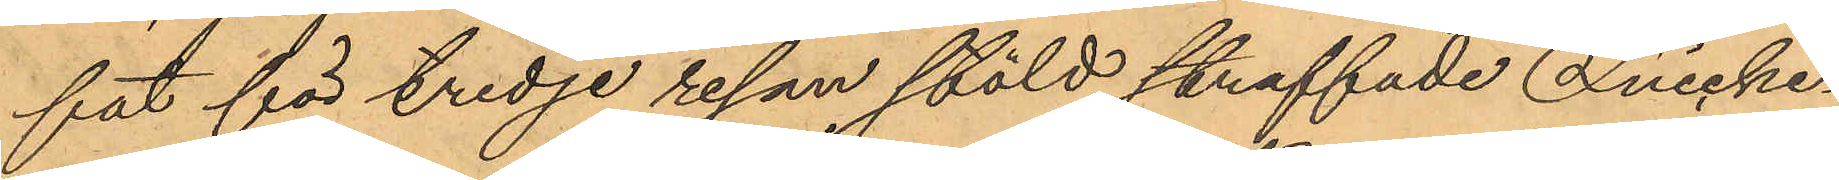fat för tredje resan stöld straffade Snicke¬
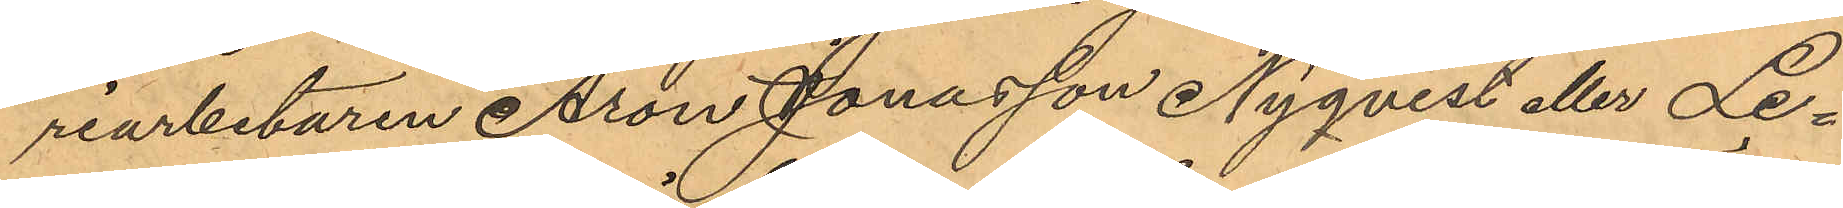riarbetaren Aron Jonasson Nyqvist eller Le¬
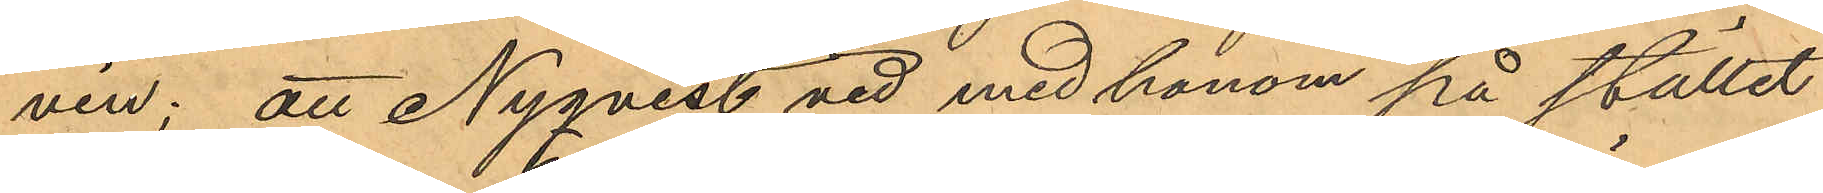vin; att Nyqvesb vid med honom på stället
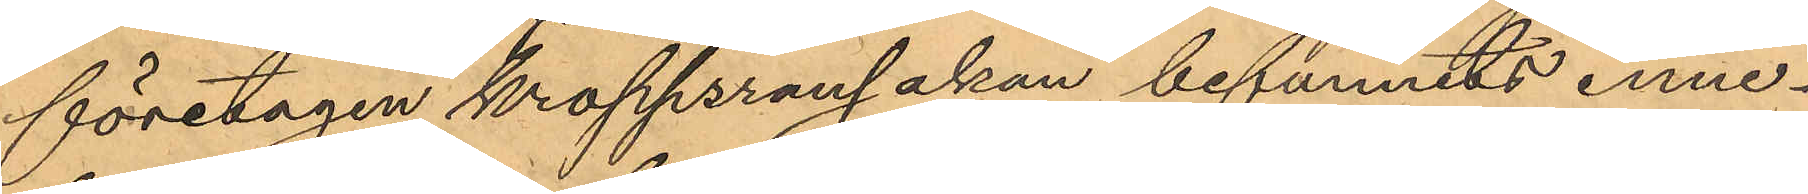företagen kroppsransakan befunnits inne¬
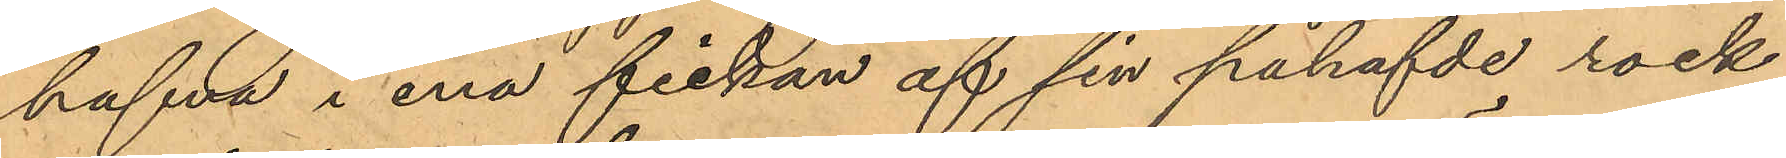hafva i ena fickan af sin påhafvde rock
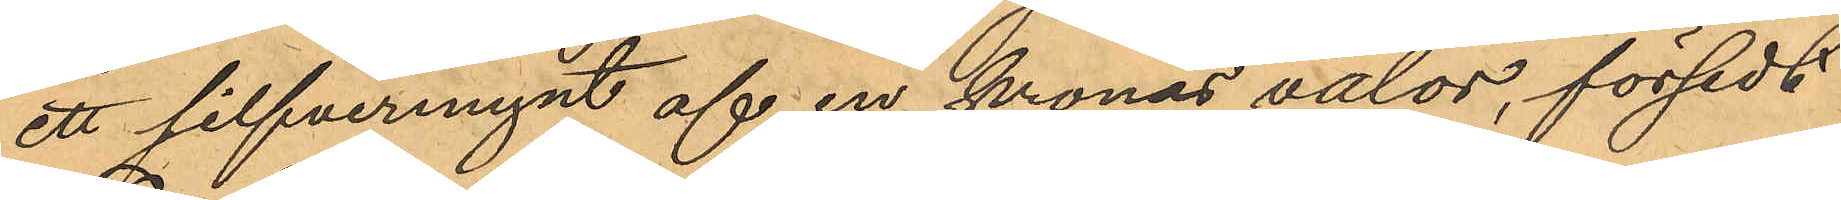ett silfvermynt af en kronas valör, försedt
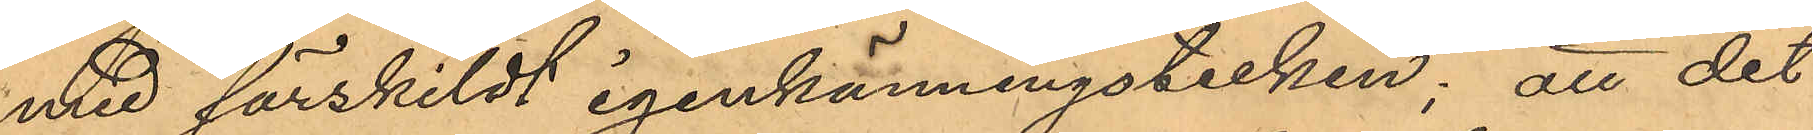med särskildt igenkänningstecken; att det
